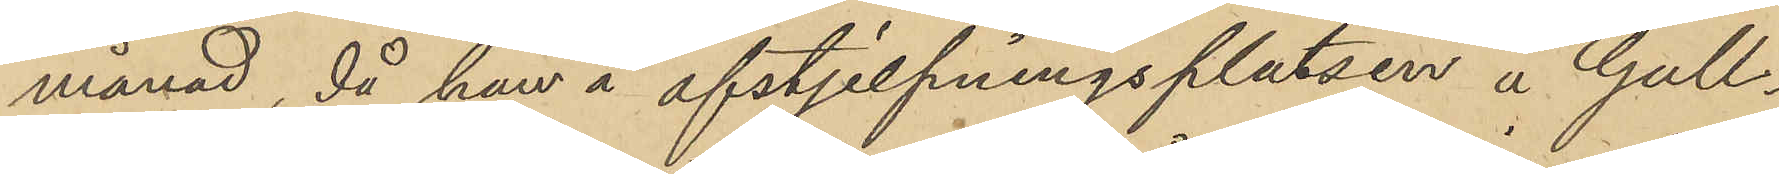månad, då han å afstjelpningsplatsen å Gull¬
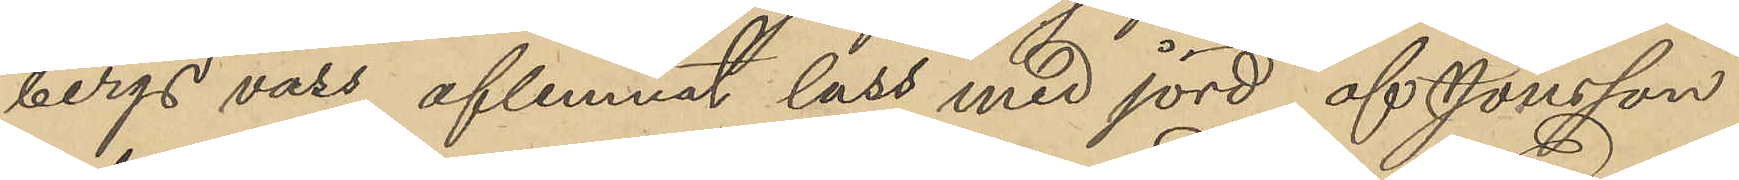bergs vass aflemnat lass med jord, af Jonsson
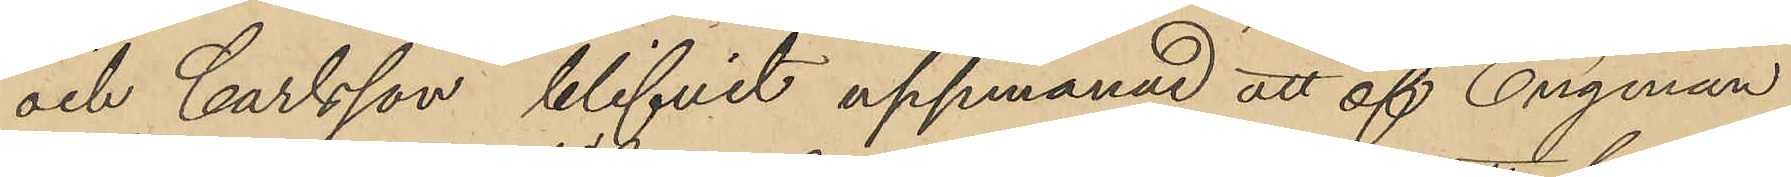och Carlsson blifvit uppmanad att af Engman
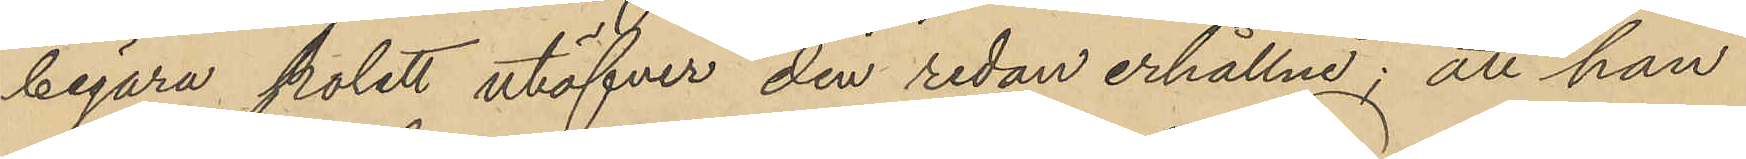begära polett utöfver den redan erhållne; att han
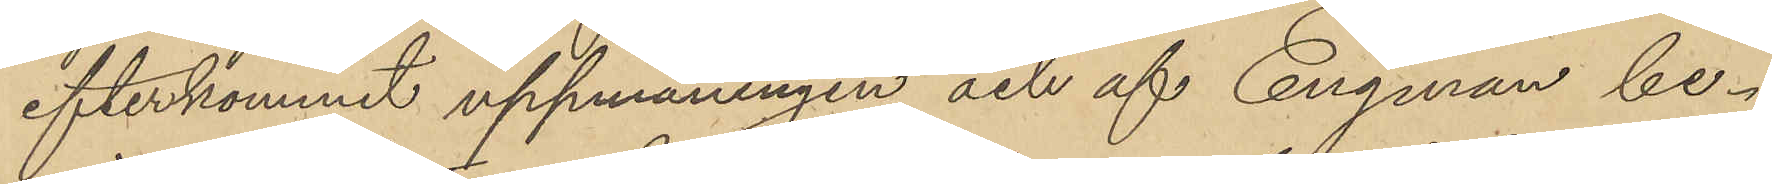efterkommit uppmaningen och af Engman be¬
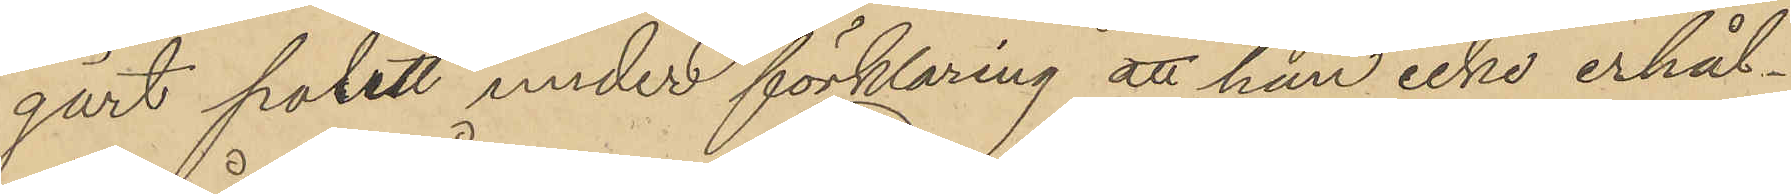gärt polett under förklaring att han icke erhål¬
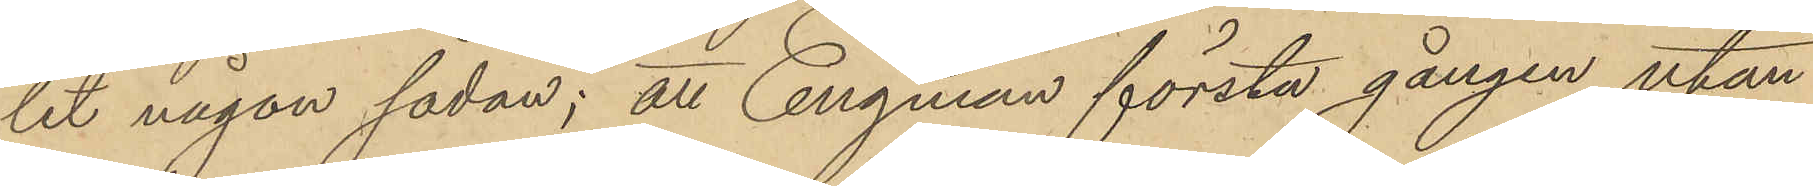lit någon sådan; att Engman första gången utan
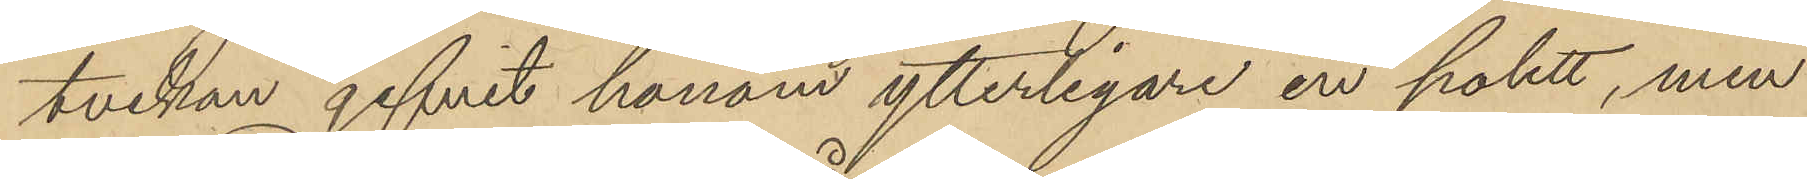tveckan gifvit honom ytterligare en polett, men
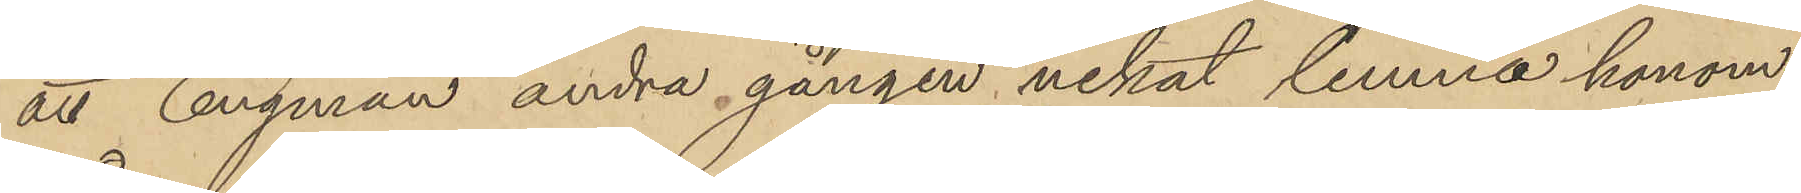att Engman andra gången nekat lemna honom
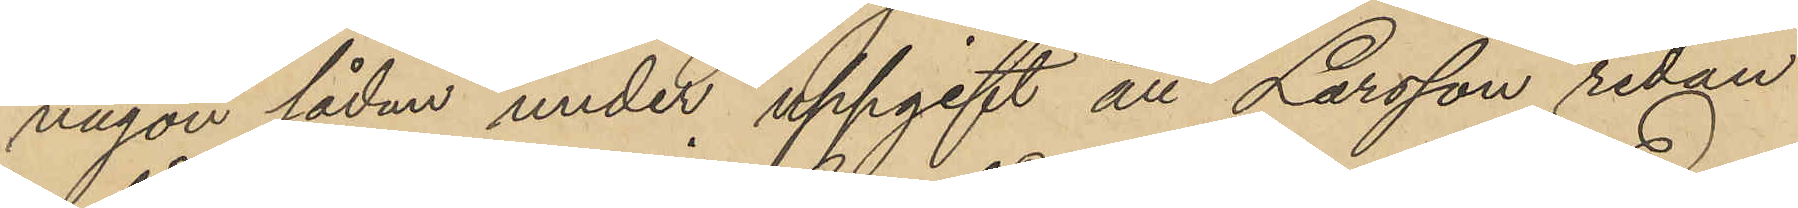någon sådan under uppgift att Larsson redan
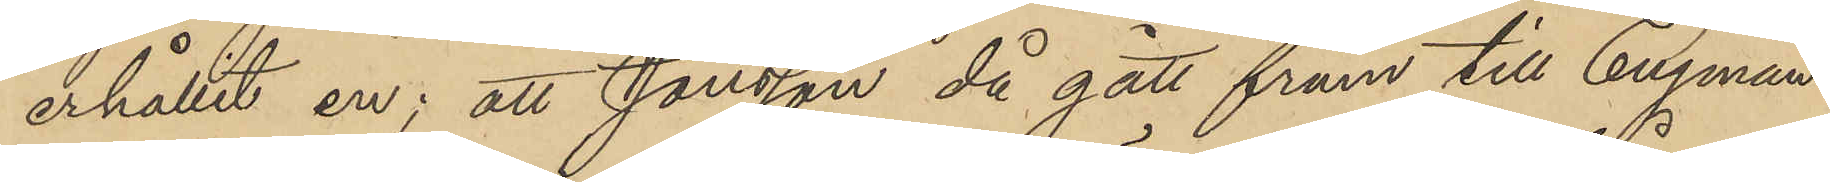erhållit en; att Jonsson då gått fram till Engman
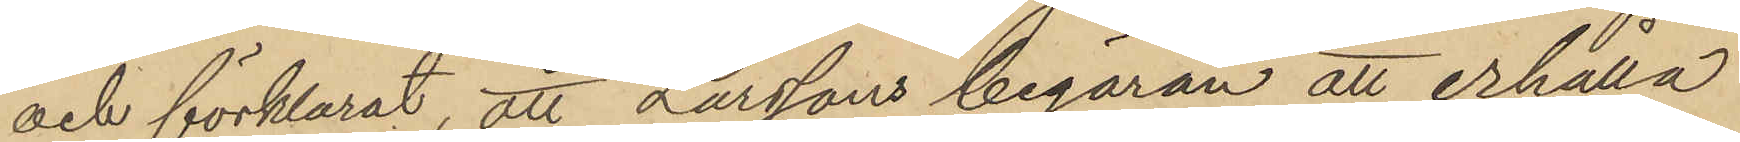och förklarat, att Larssons begäran att erhålla
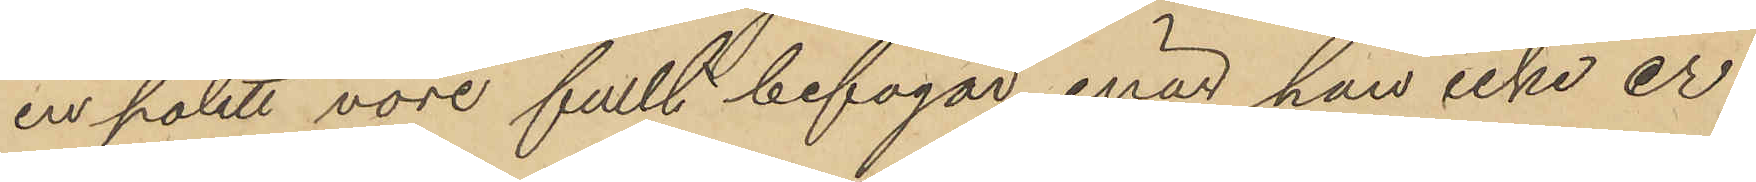en polett vore fullt befogad, enär han icke er¬
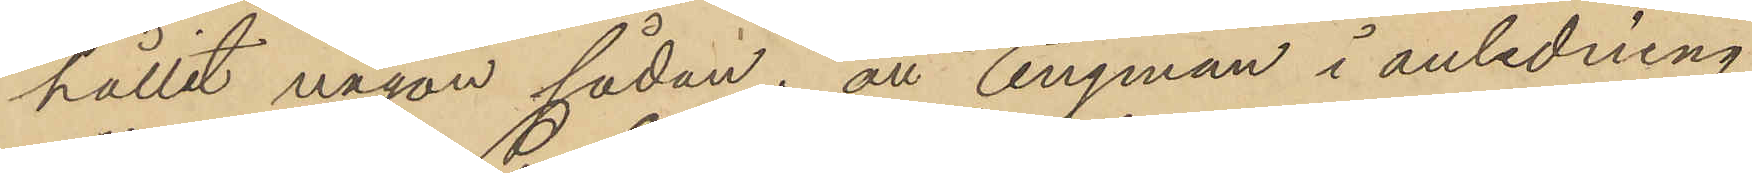hållit någon sådan; att Engman i anledning
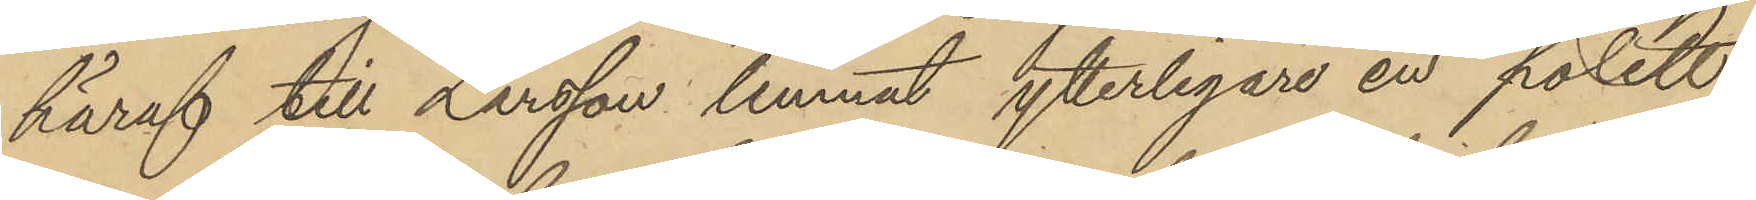häraf till Larsson lemnat ytterligare en polett;
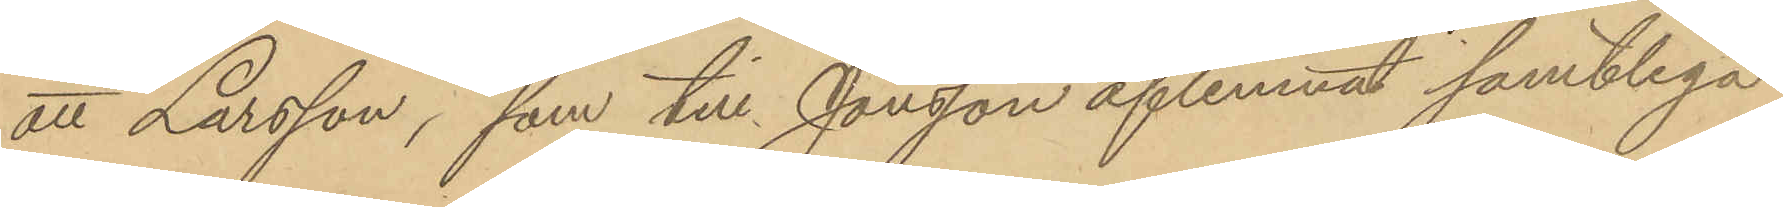att Larsson, som till Jonsson aflemnat samtliga
